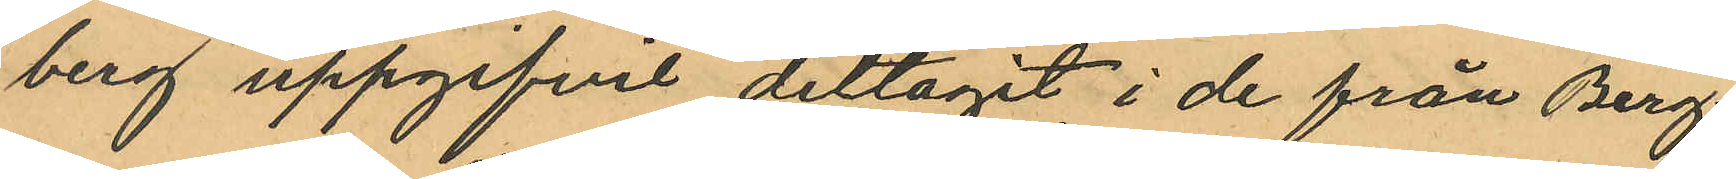berg uppgifvit deltagit i de från Berg
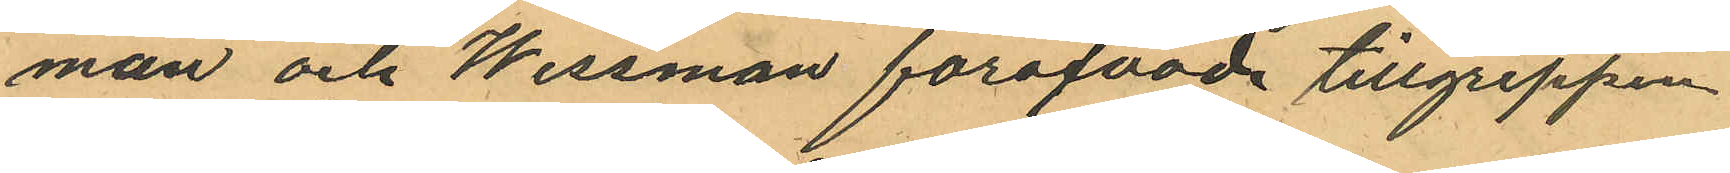man och Wessman föröfvade tillgreppen
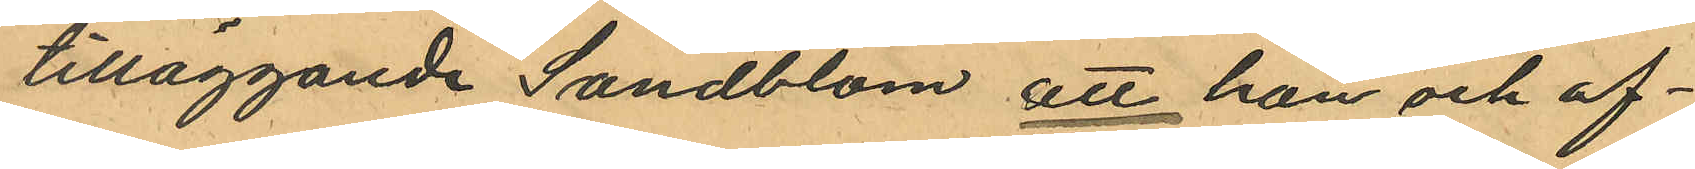tilläggande Sandblom att han och of¬
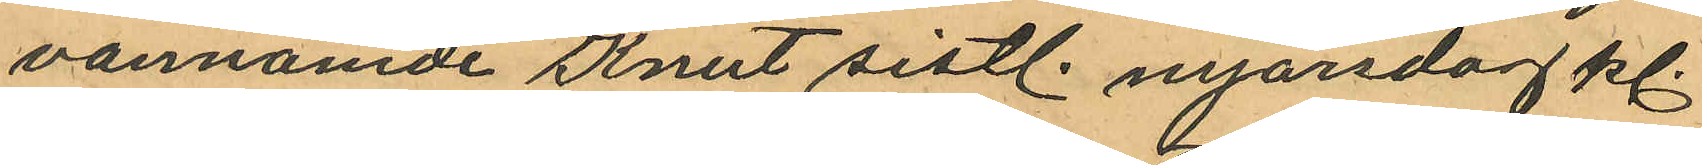vannämde Knut sistl. nyårsdag kl.
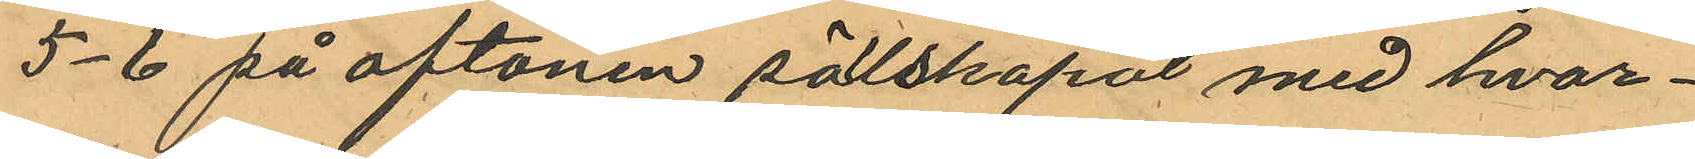5-6 på aftonen sällskapat med hvar¬
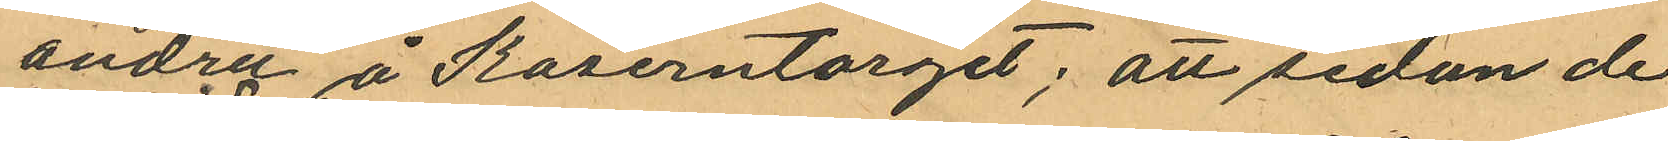andra å Kaserntorget; att sedan de
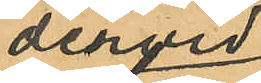dervid
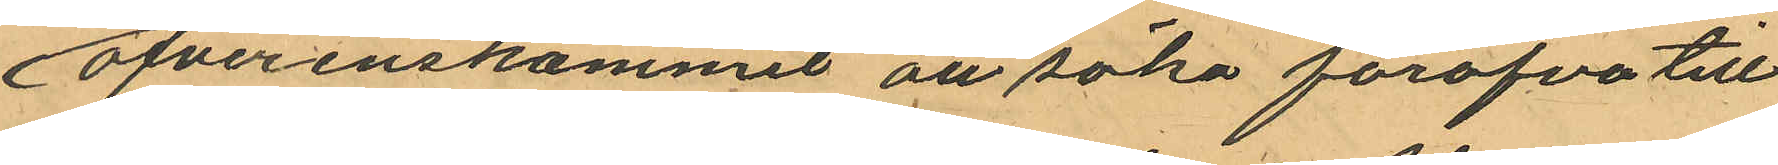öfverenskommit att söka föröfva till
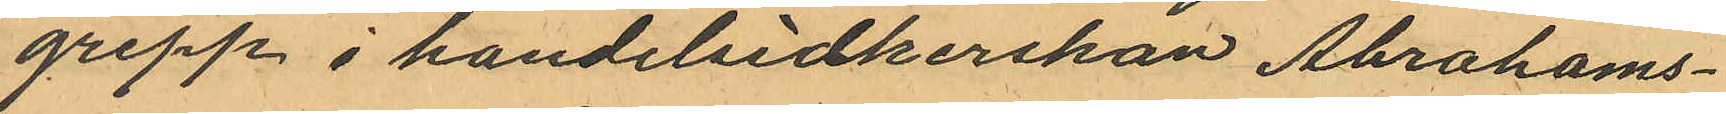grepp i handelsidkerskan Abrahams¬
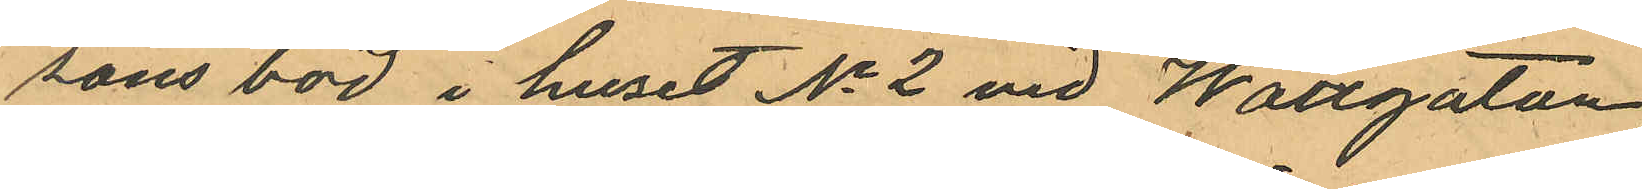sons bod i huset No 2 vid Wallgatan
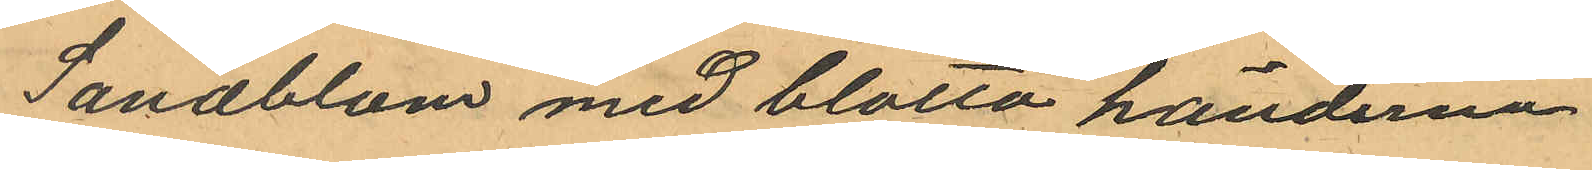Sandblom med blotta händerna
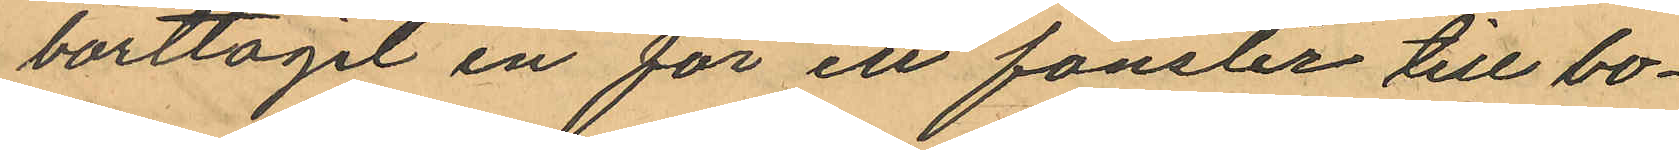borttagit en för ett fönster till bo¬
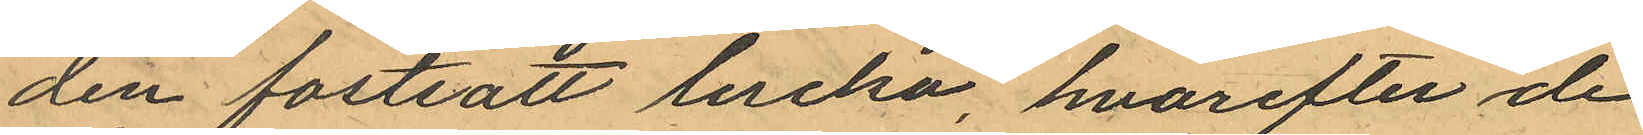den fastsatt lucka, hvarefter de
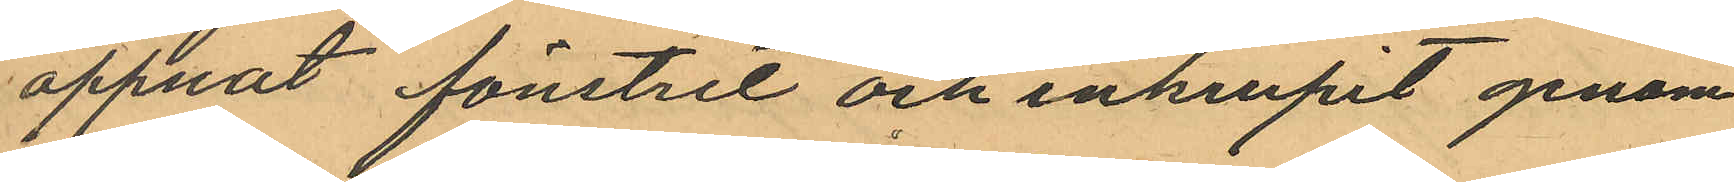öppnat fönstret och inkrupit genom
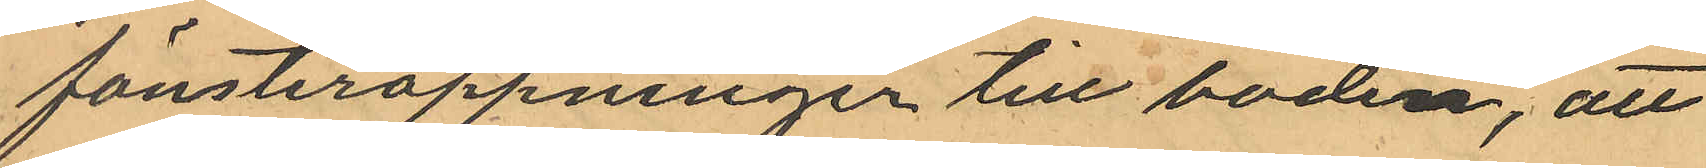fönsteröppningen till boden, att
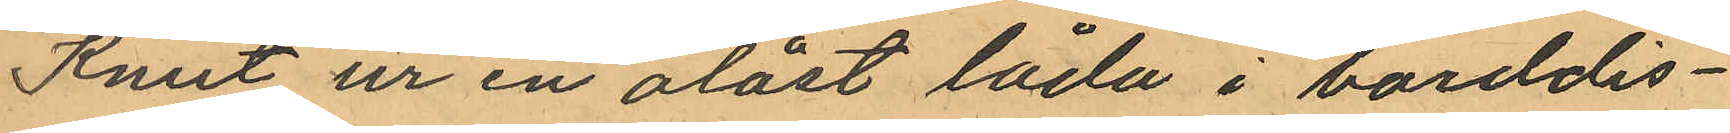Knut ur en olåst låda i borddis¬
